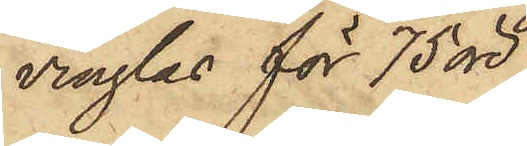vinglas för 75 öre,
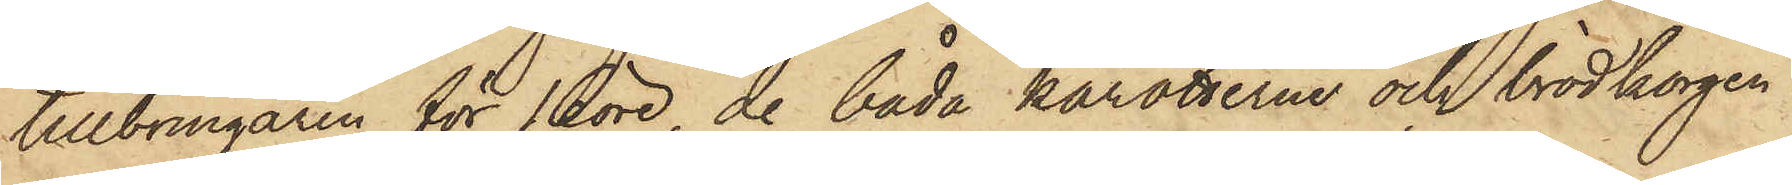tillbringaren för 16 öre, de båda karotterna och brödkorgen
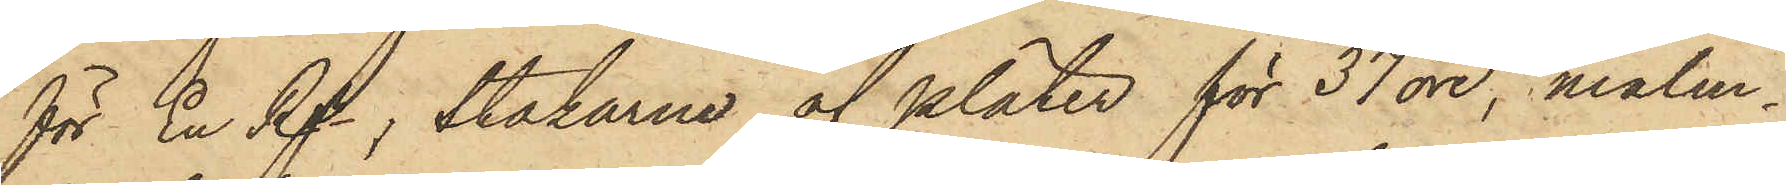för En Rgr, Stakarne af pläter för 37 öre, malm¬
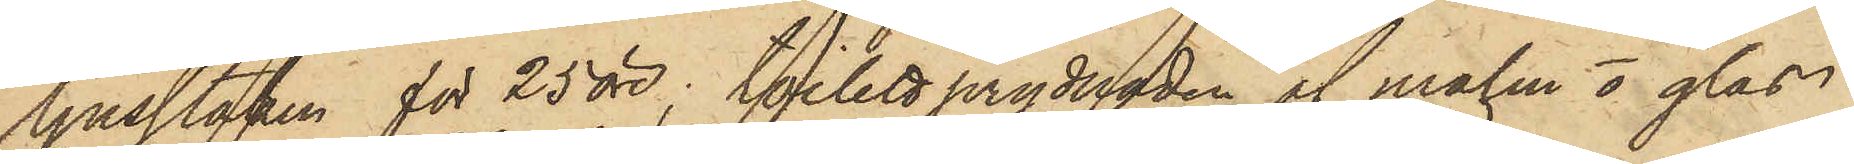ljusstaken för 25 öre; toilett prydnaden af malm o glas
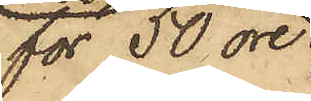för 50 öre;
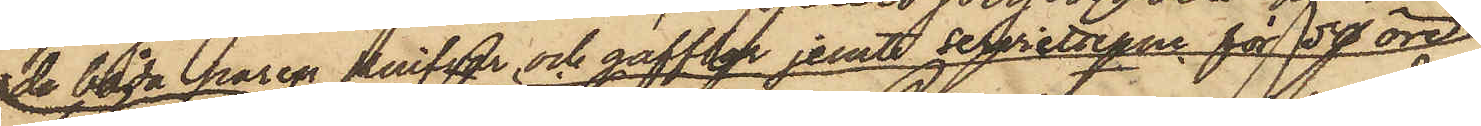de båda paren knifvar och gafflar jemte servietterna för 50 öre
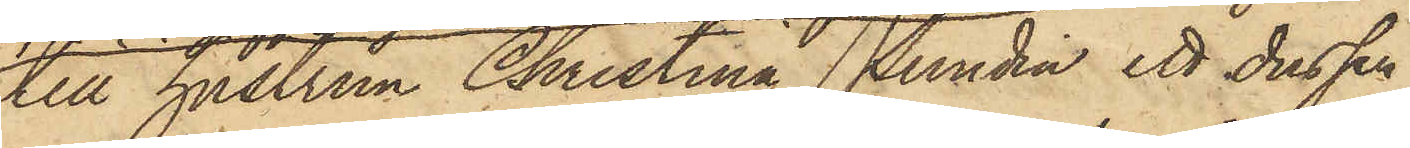till hustrun Christina Sundin, ett dussin
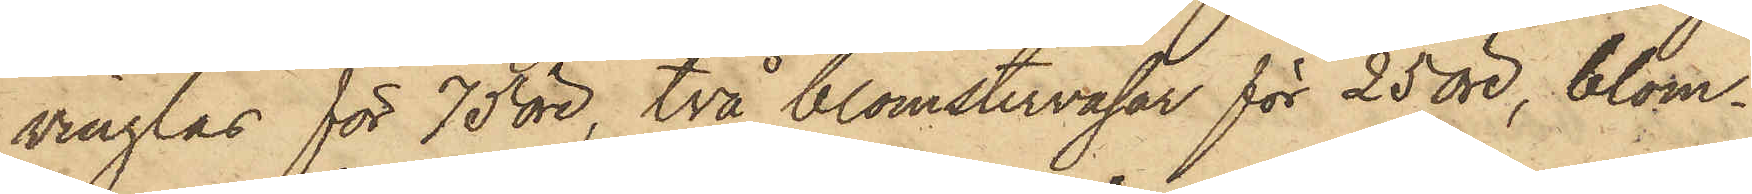vinglas för 75 öre, två blomstervasar för 25 öre, blom¬
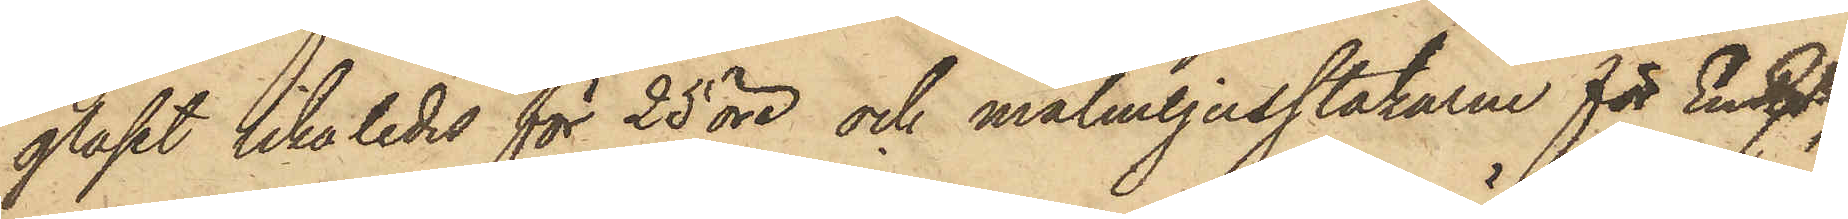glaset likaledes för 25 öre och malmljusstakarne för En Rgr,
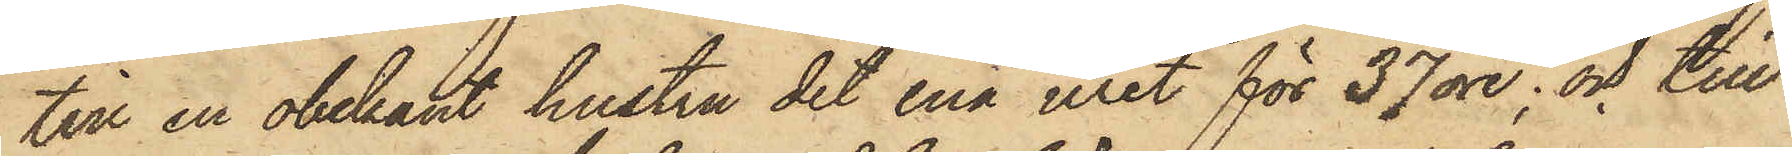till en obekant hustru det ena uret för 37 öre; och till
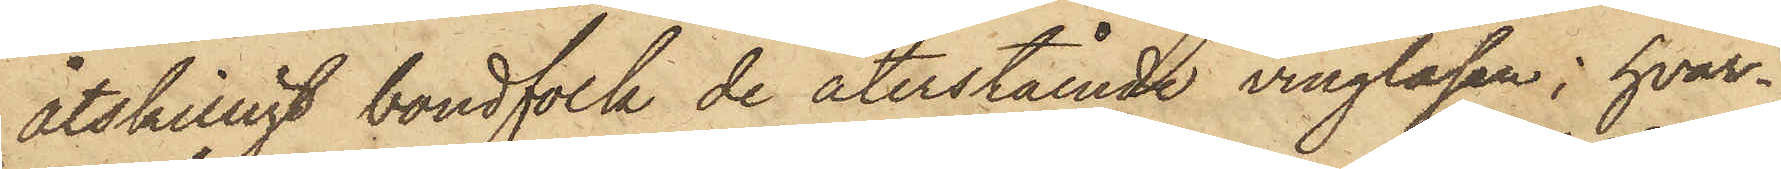åtskilligt bondfolk de återstående vinglasen; hvar¬
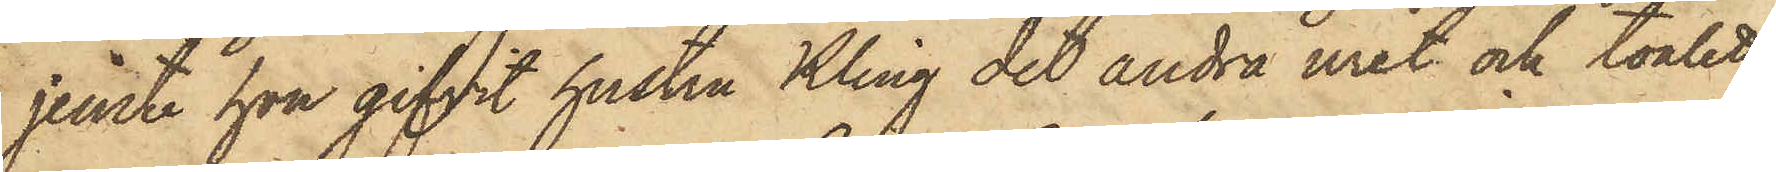jemte hon gifvit hustru Kling det andra uret och toilett¬
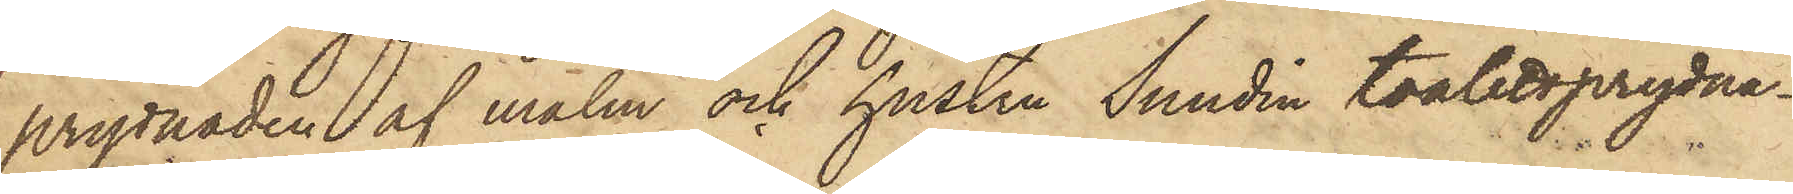prydnaden af malm och hustru Sundin toalettprydna¬
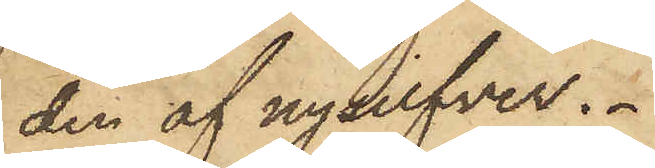den af nysilfver.
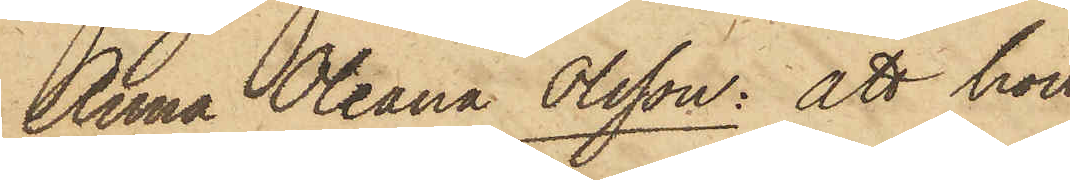Anna Oleana Olsson: att hon
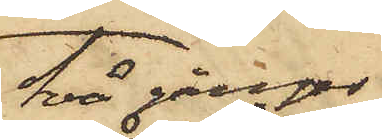två gånger
